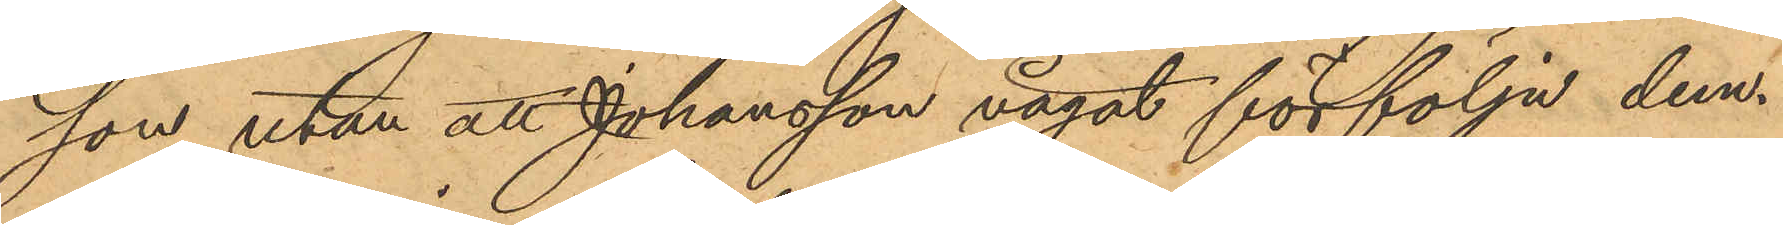son utan att Johansson vågat förfölja dem.
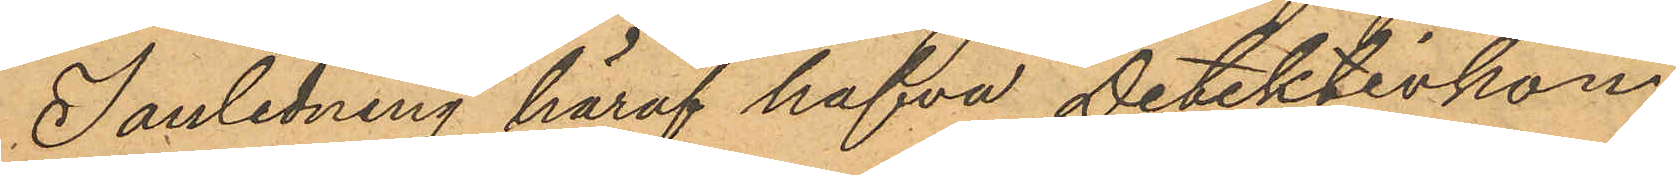I anledning häraf hafva Detektivkon¬
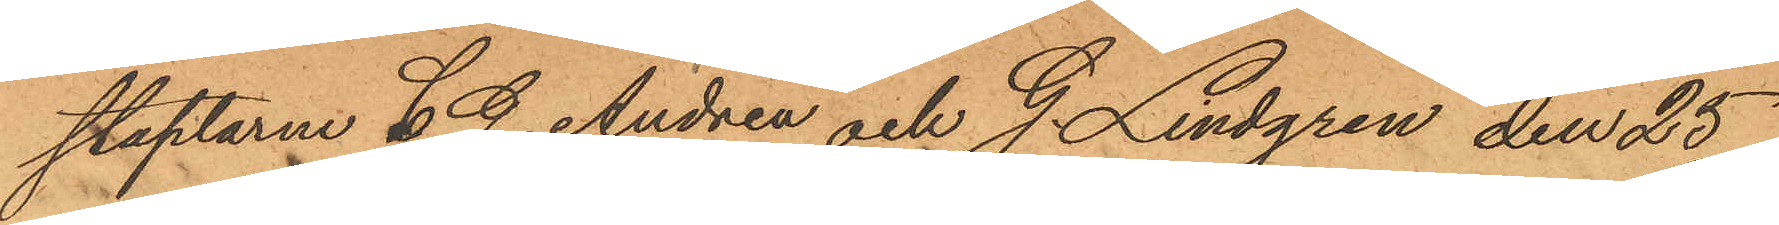staplarne C. G. Andrén och G. Lindgren den 25
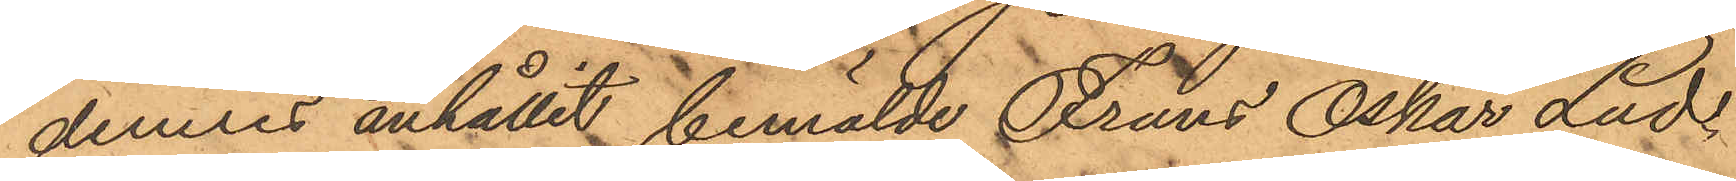dennes anhållit bemälde Frans Oskar Lud¬
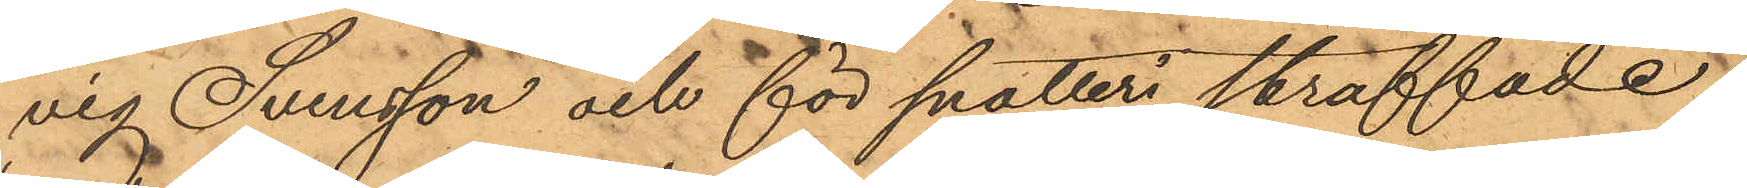vig Svensson och för snatteri straffade
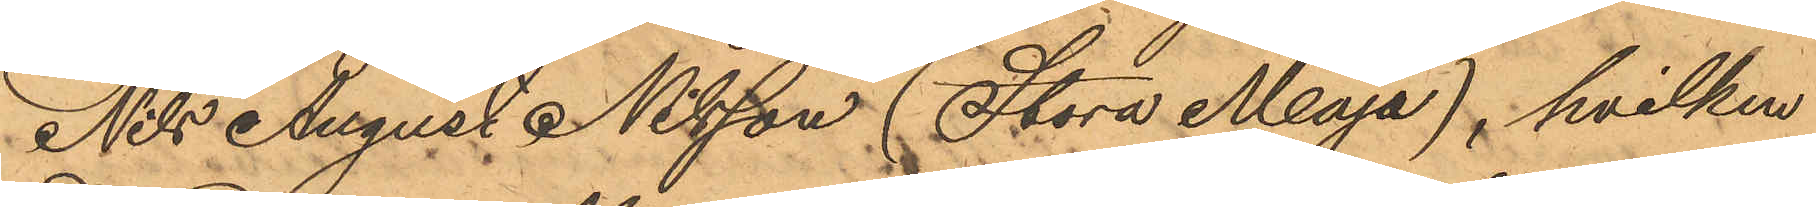Nils August Nilsson (Stora Maja), hvilken
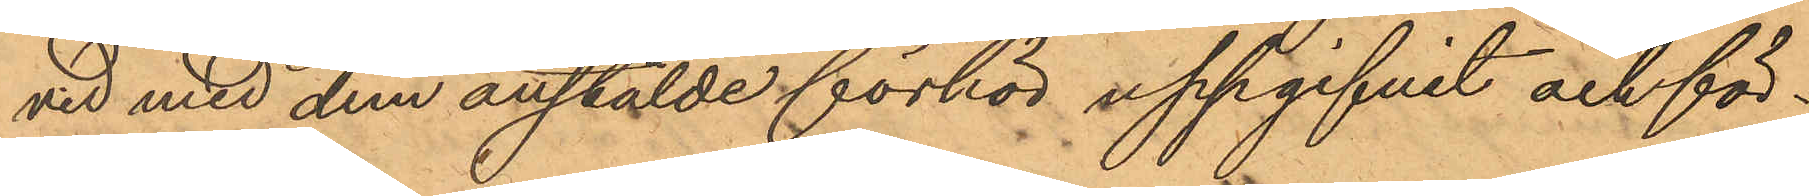vid med dem anställde förhör uppgifvit och för¬
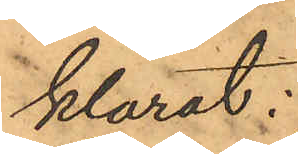klarat:
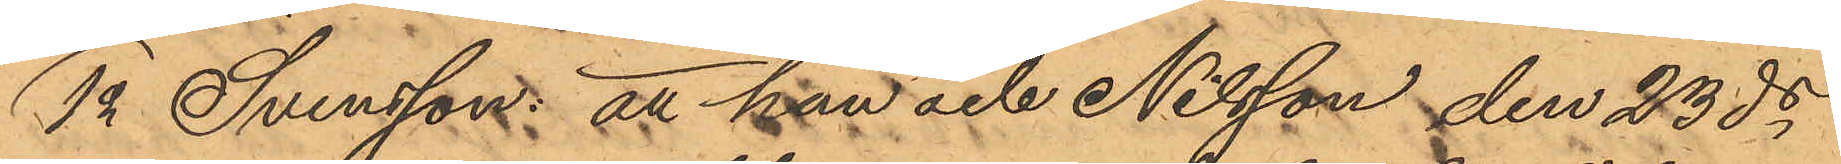1o Svensson: att han och Nilsson den 23 ds
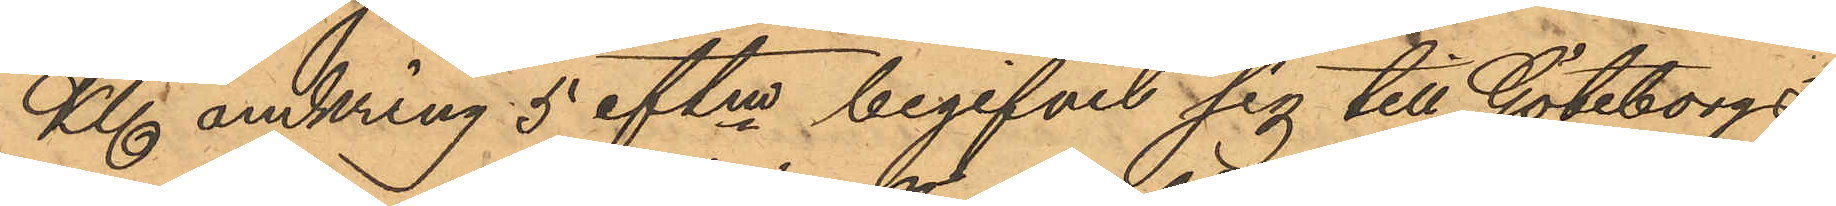Kl omkring 5 eftm begifvit sig till Göteborgs
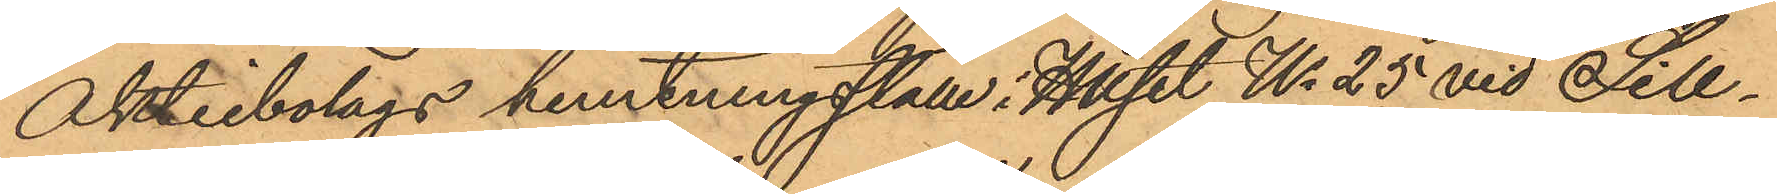Aktiebolags hemtningsställe i Huset No 25 vid Sill¬
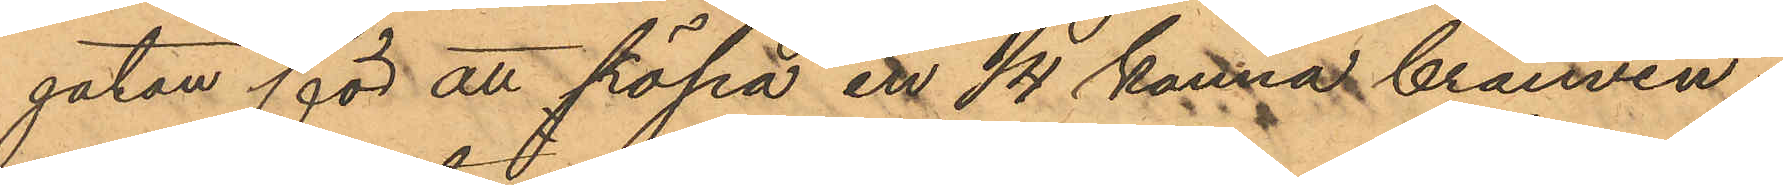gatan för att köpa en 1/4 kanna brännvin.
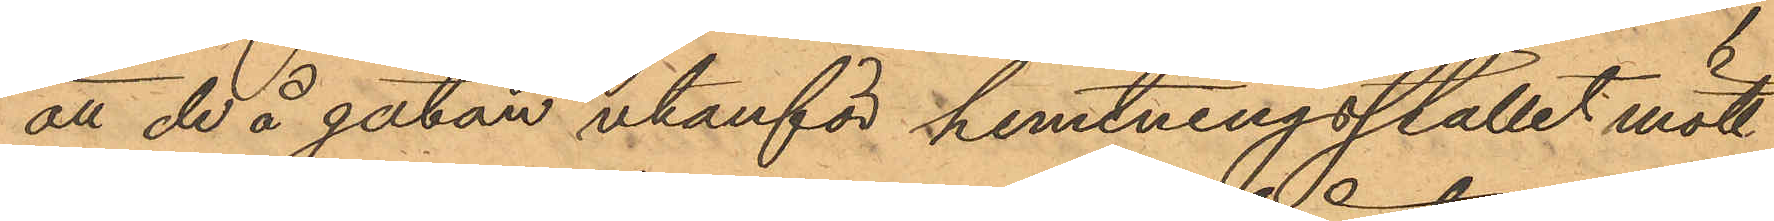att de å gatan utanför hemtningsstället mött
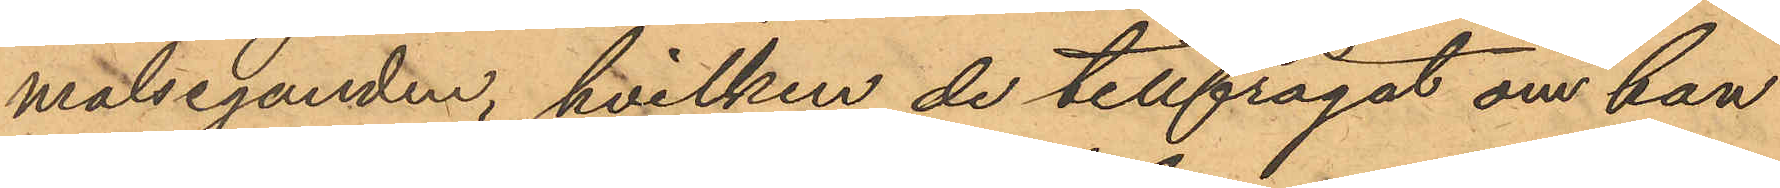målseganden, hvilken de tillfrågat om han
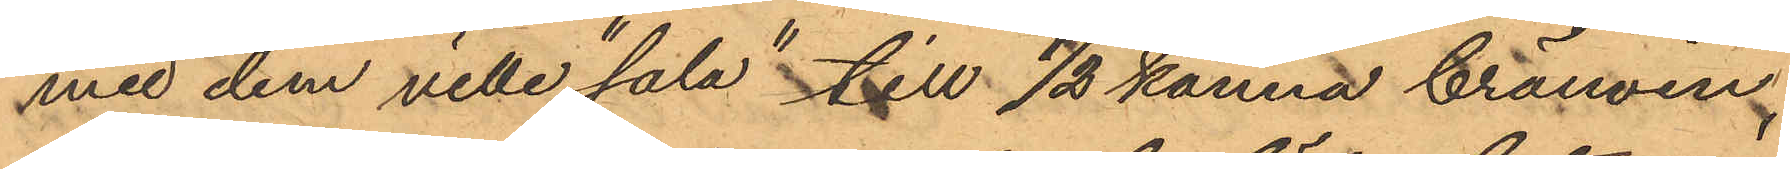med dem ville "sala" till 1/2 kanna brännvin
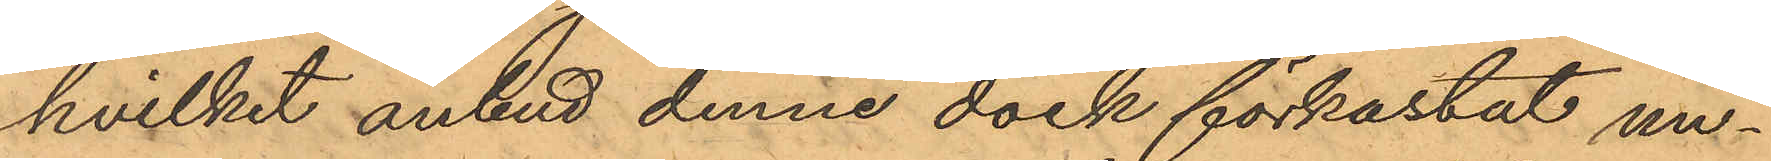hvilket anbud denne dock förkastat un¬
